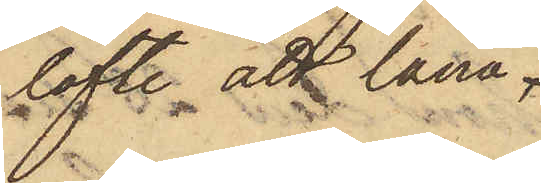löfte att låna
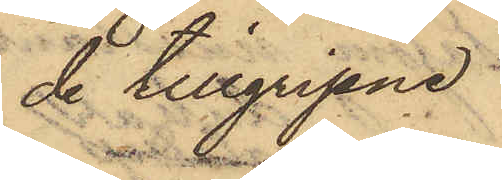de tillgripne
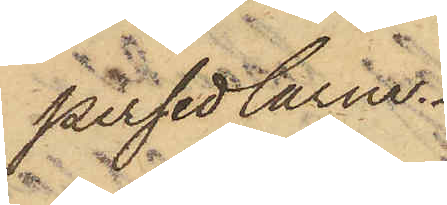persedlarna.
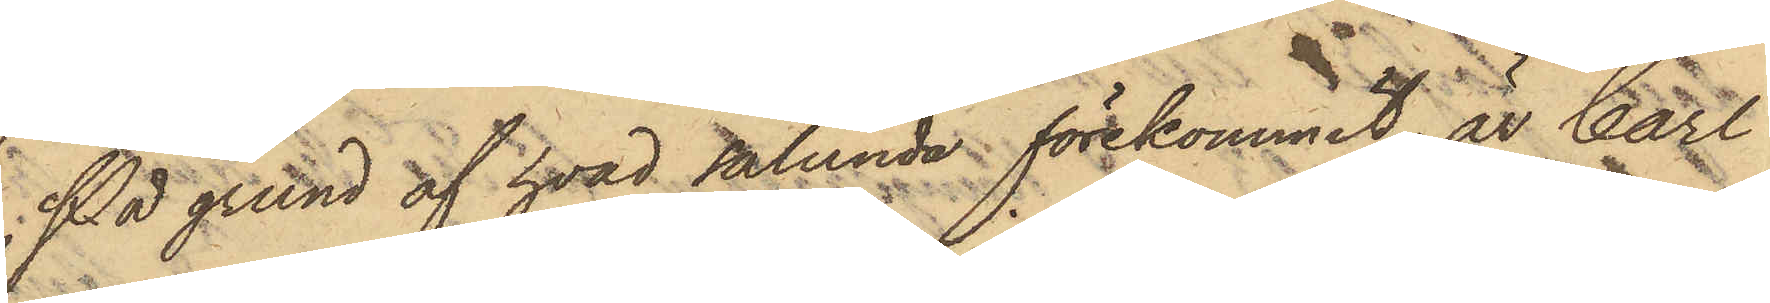På grund af hvad sålunda förekommit, är Carl
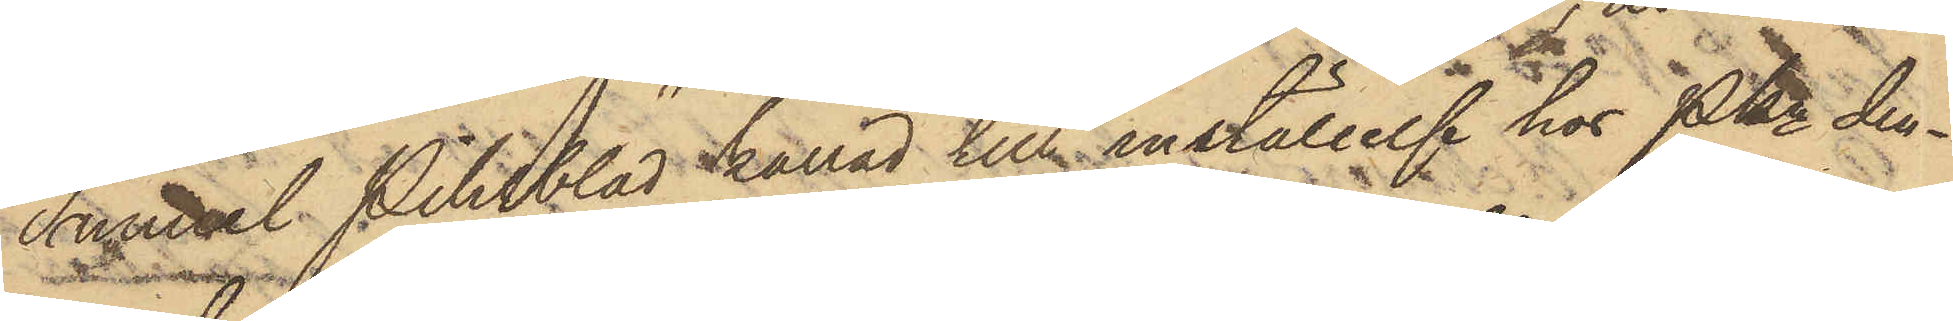Samuel Pihlblad kallad til inställelse hos PKn den¬
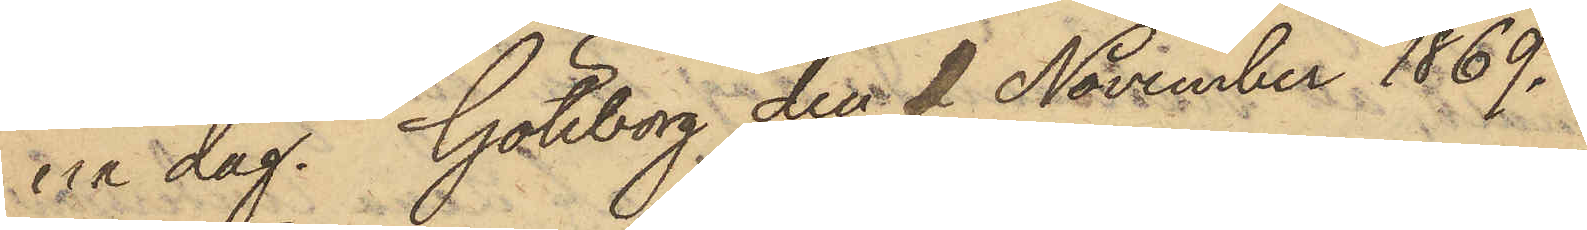na dag. Göteborg den 1 November 1869.
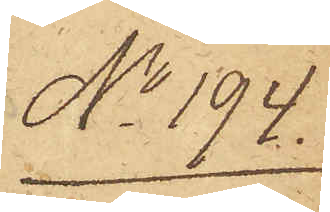No 194.
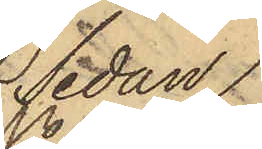Sedan
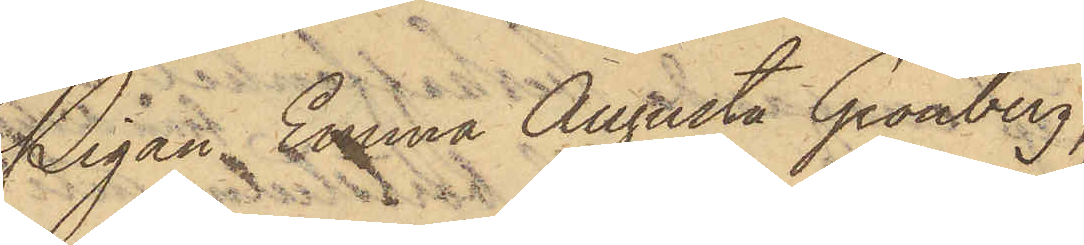Pigan Emma Augusta Grönberg,
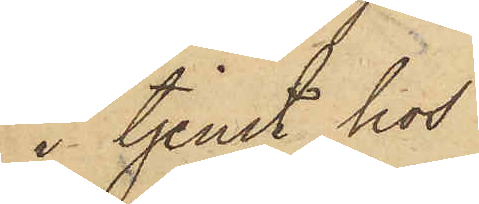i tjenst hos
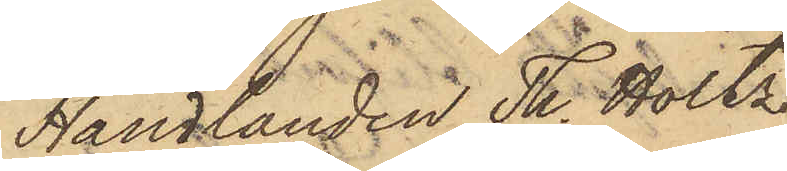Handlanden Th. Holtz
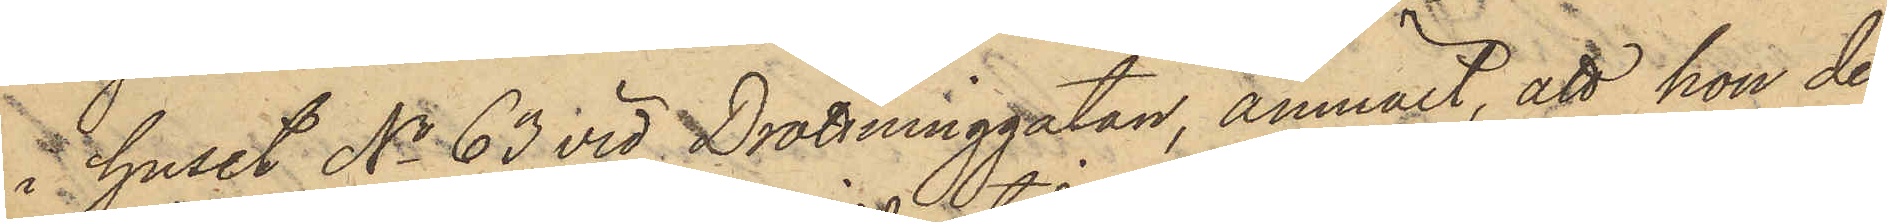i huset No 63 vid Drottninggatan, anmält, att hon den
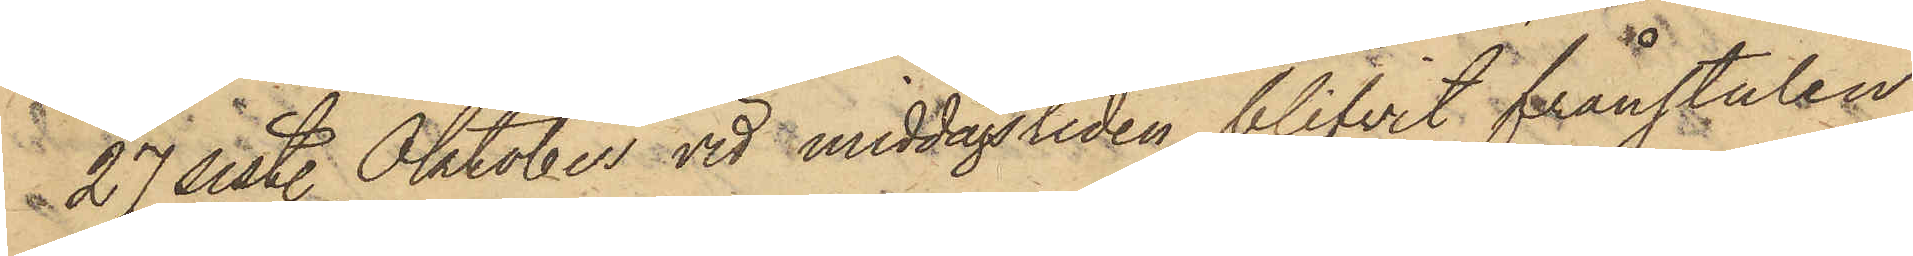27 sist. Oktober vid middagstiden blifvit frånstulen
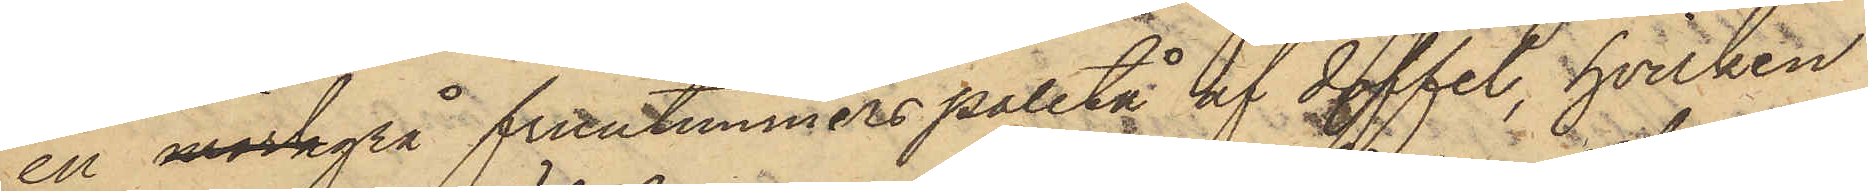en mörkgrå fruntimmerspaletå af doffel, hvilken
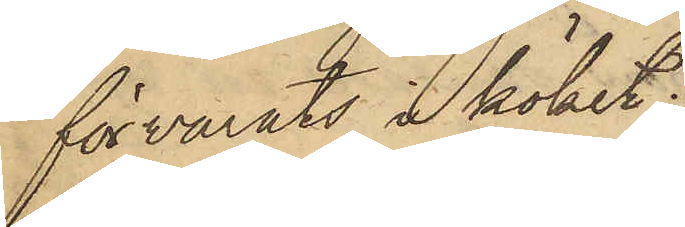förvarats i köket;
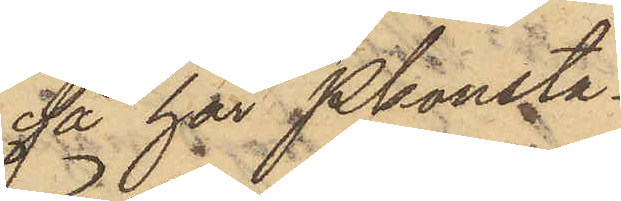så har Pkonsta¬
